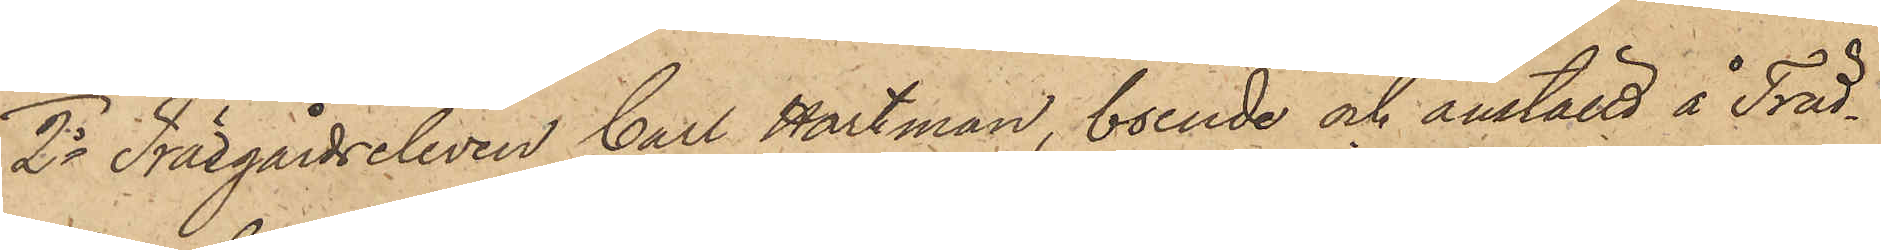2o Trädgårdseleven Carl Hartman, boende och anställd å Träd¬
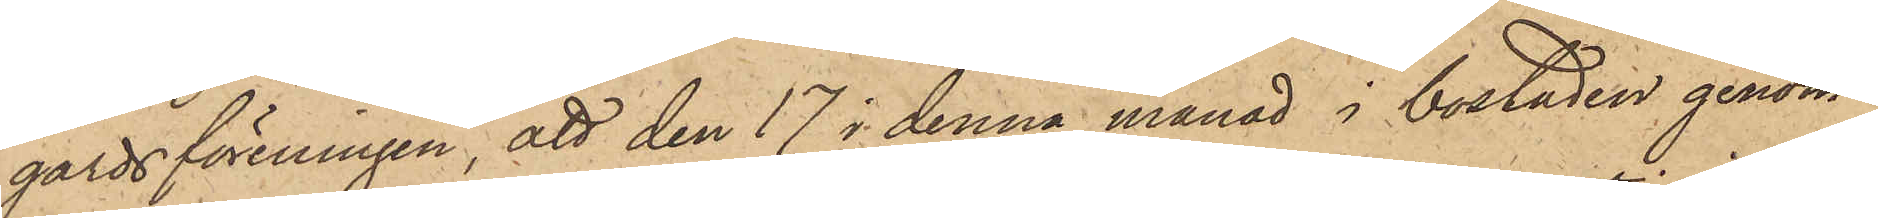gårdsföreningen, att den 17 i denna månad i bostaden genom
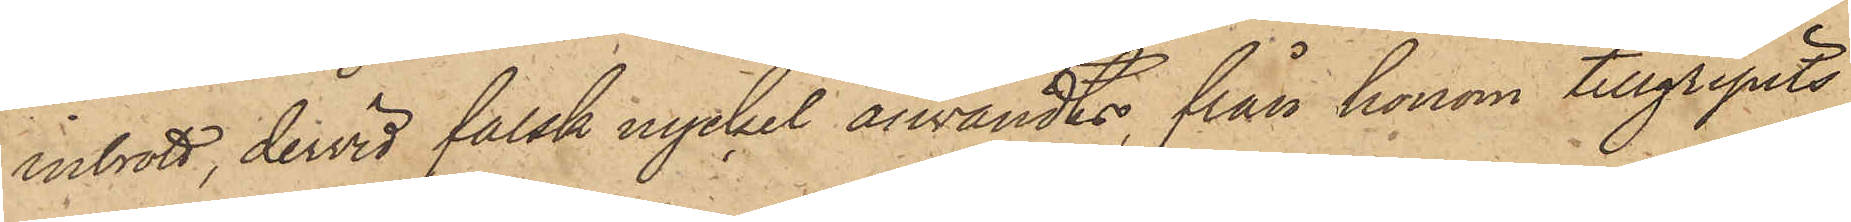inbrott, dervid falsk nyckel användts, från honom tillgripits
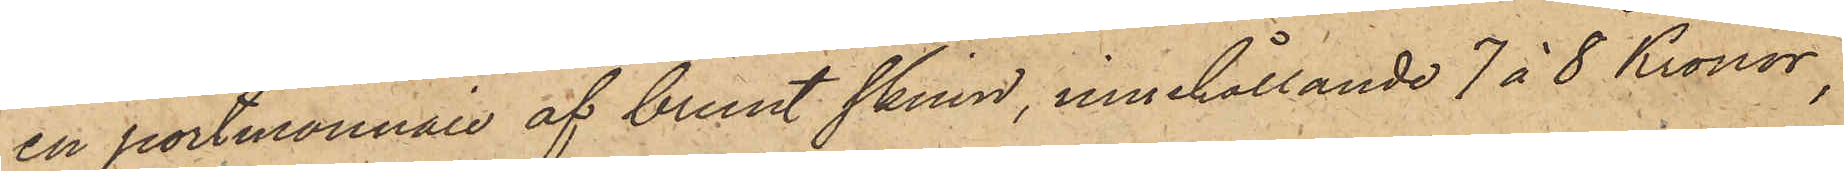en portmonnaie af brunt skinn, innehållande 7 à 8 Kronor,
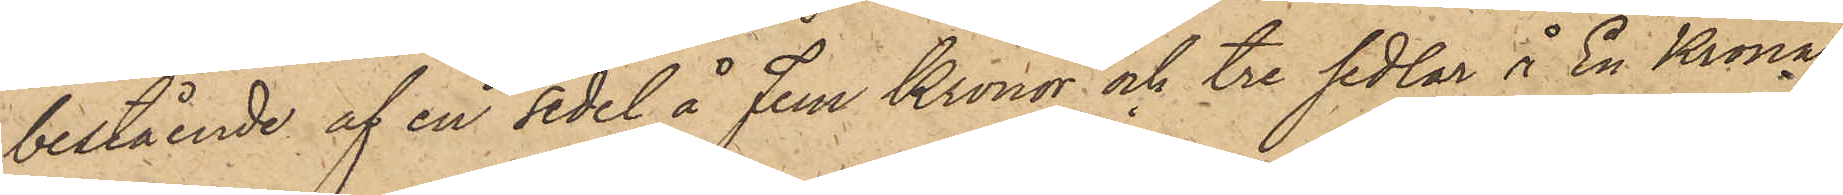bestående af en sedel å Fem Kronor och tre sedlar å En Krona
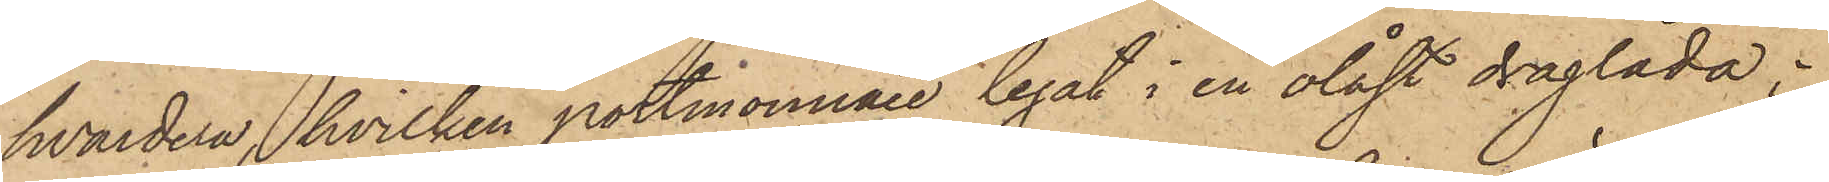hvardera, hvilken portmonnaie legat i en olåst draglåda;
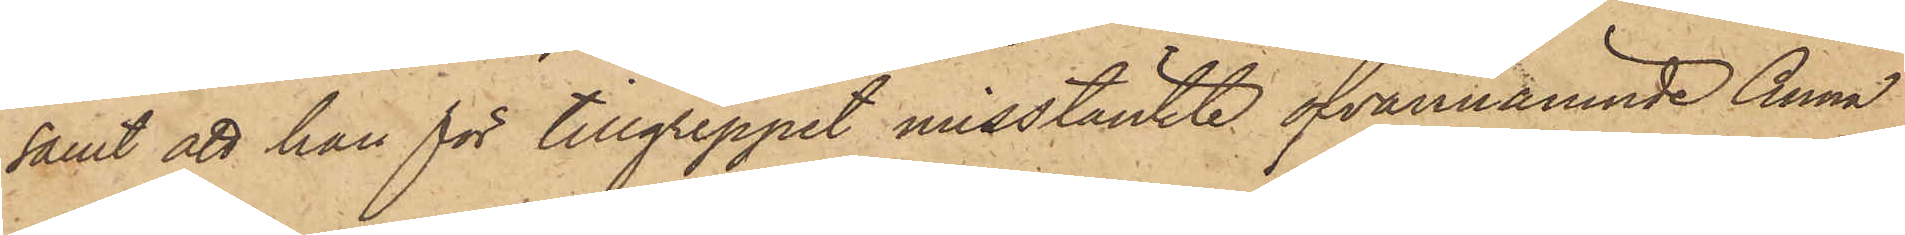samt att han för tillgreppet misstänkte ofvannämnde Anna
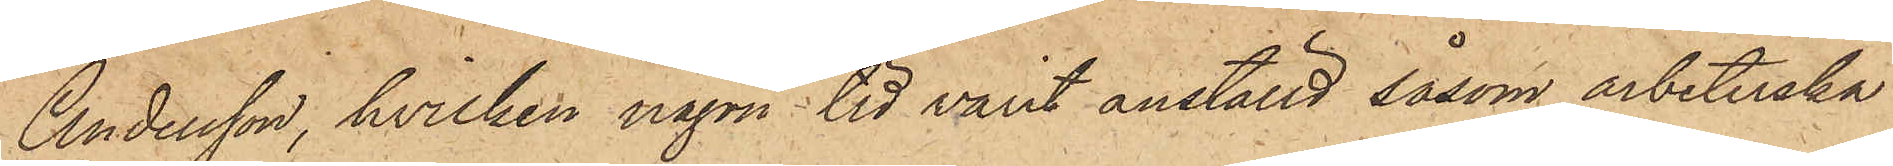Andersson, hvilken någon tid varit anställd såsom arbeterska
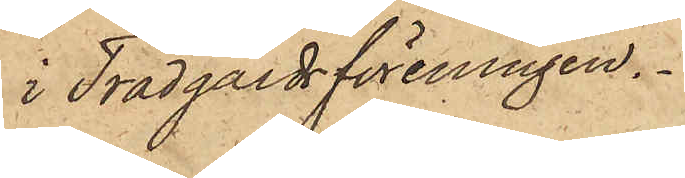i Trädgårdsföreningen.
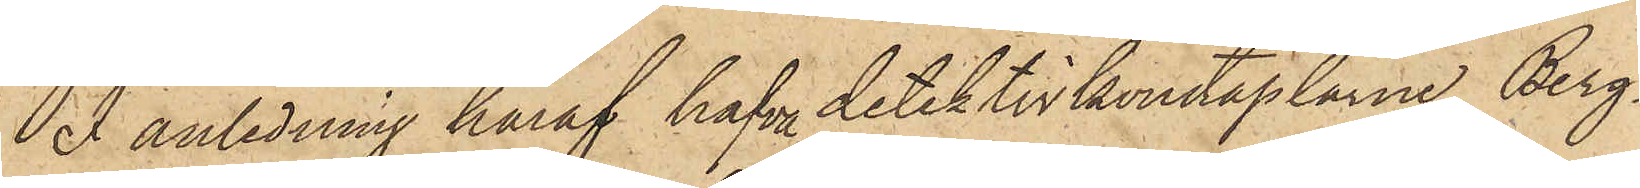I anledning häraf hafva detektivkonstaplarne Berg¬
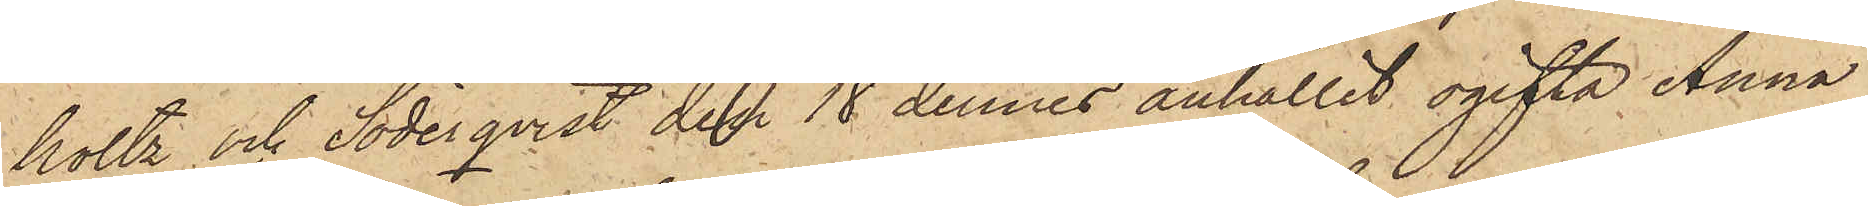holtz och Söderqvist den 18 dennes anhållit ogifta Anna
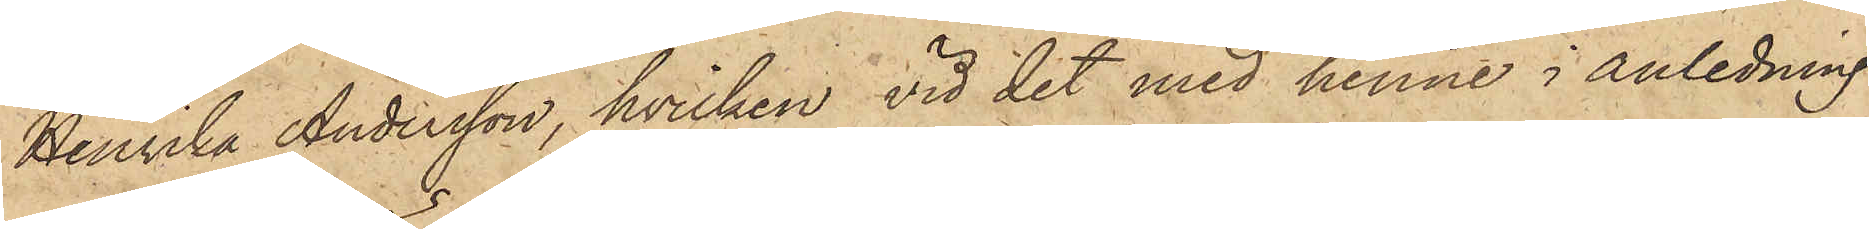Henrika Andersson, hvilken vid det med henne i anledning
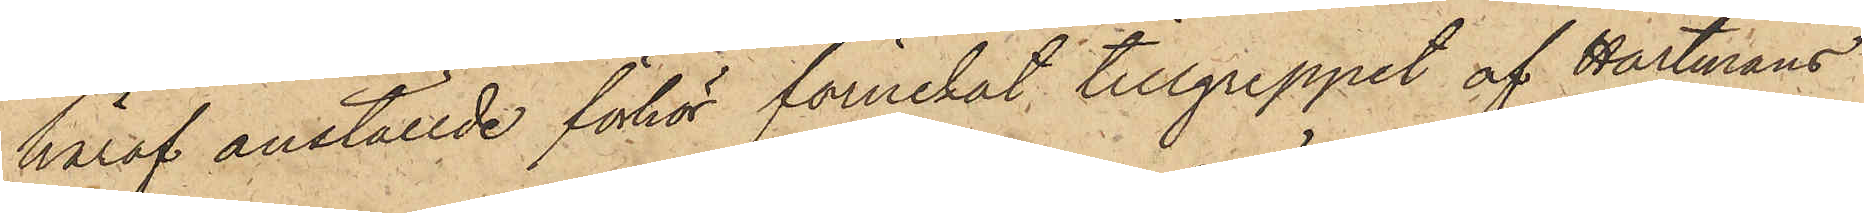häraf anställde förhör förnekat tillgreppet af Hartmans
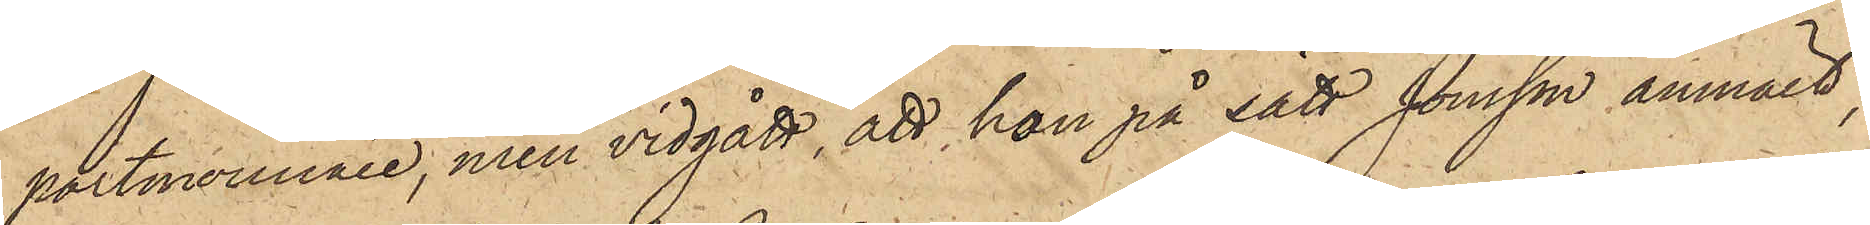portmonnaie, men vidgått, att hon på sätt Jonsson anmält,
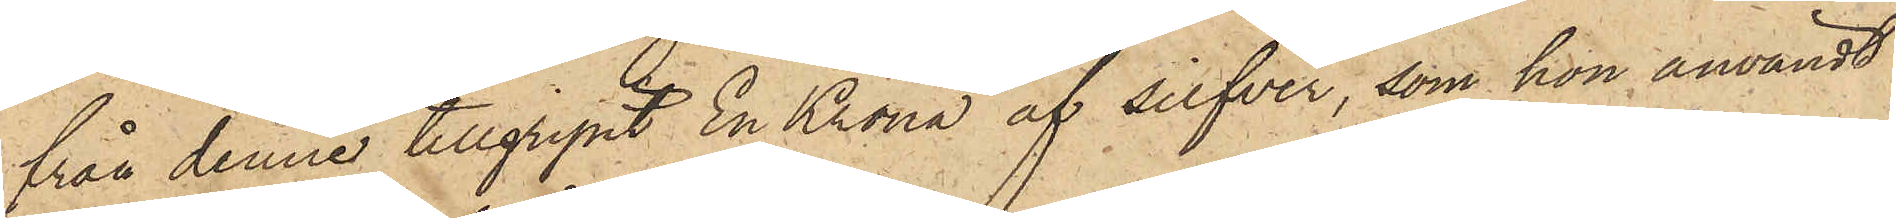från denne tillgripit En Krona af silfver, som hon användt
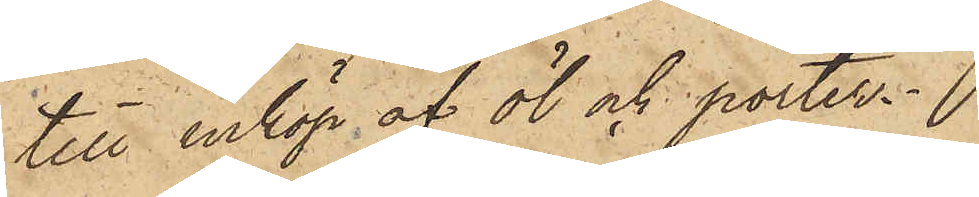till inköp af öl och porter.
